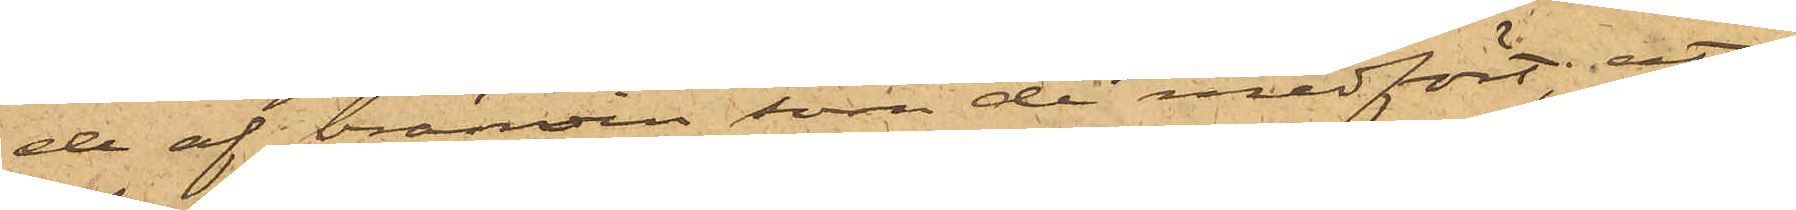de af bränvin som de medfört; att
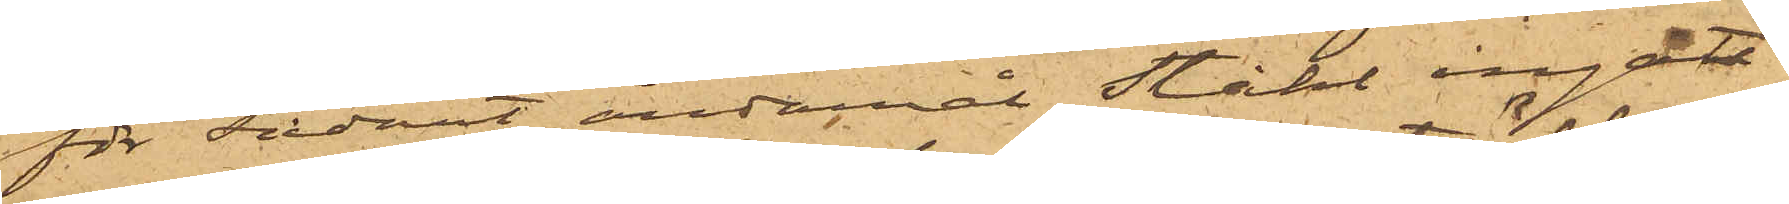för sådant ändamål Ståhl ingått
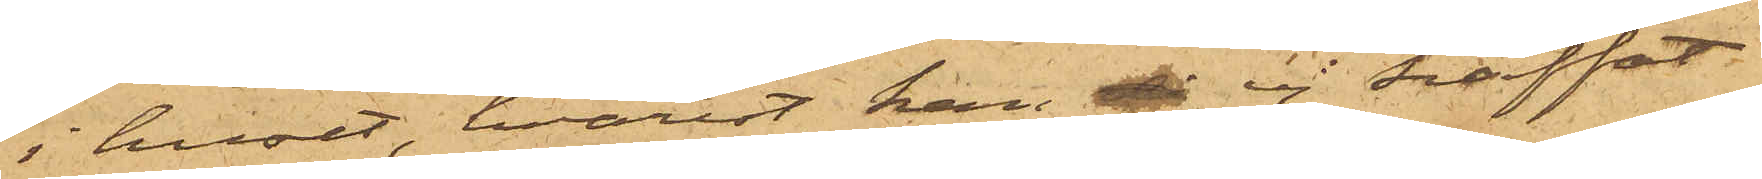i huset, hvarest han ej träffat
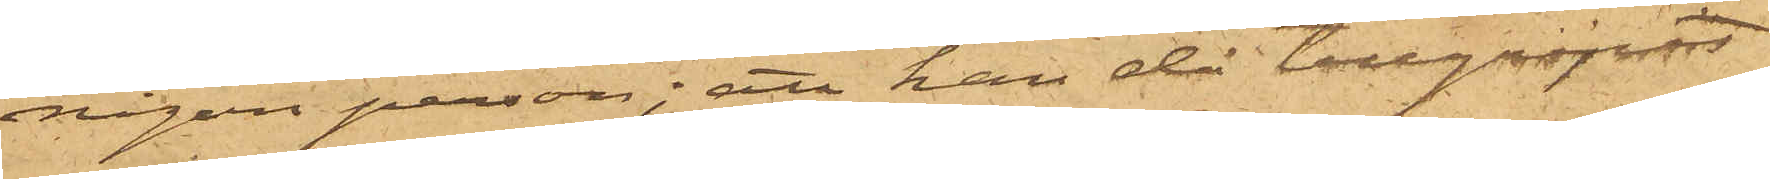någon person; att han då tillgripit
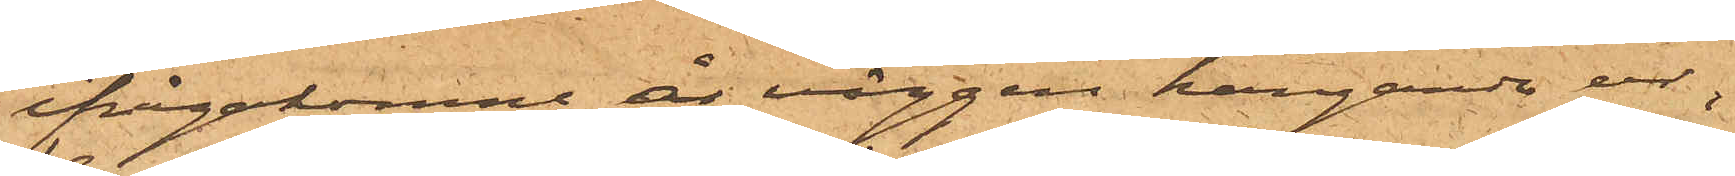ifrågakomne å väggen hängande ur,
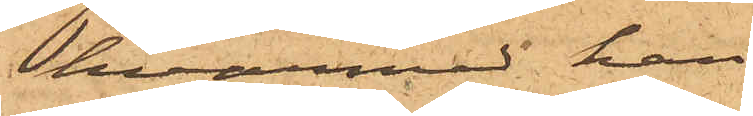hvarmed han
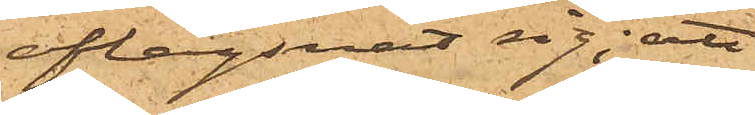aflägsnat sig; att
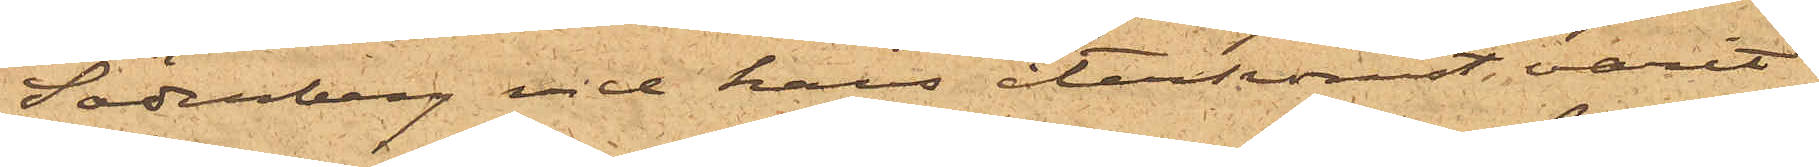Söderberg vid hans återkomst, varit
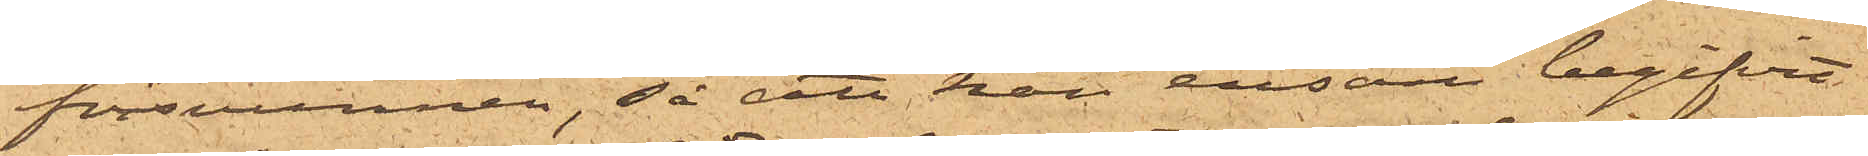försvunnen, så att han ensam begifvit
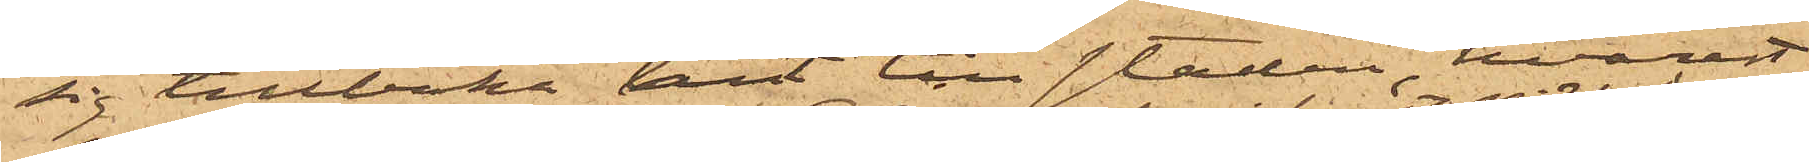sig tillbaka hit till staden, hvarest
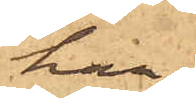han
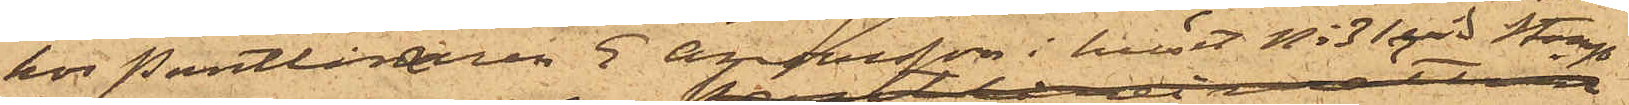hos Pantlånaren E. Andersson i huset No 31 vid Stamp¬
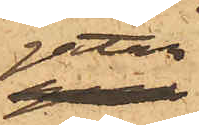gatan
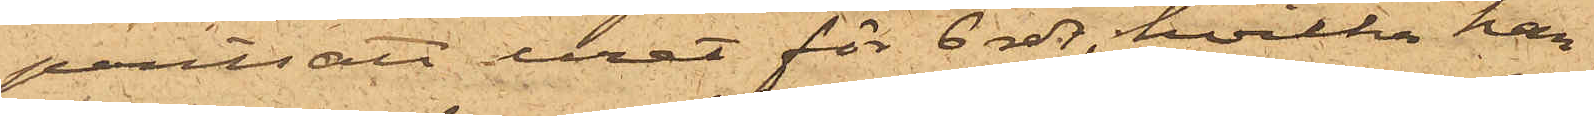pantsatt uret för 6 rdr, hvilka han
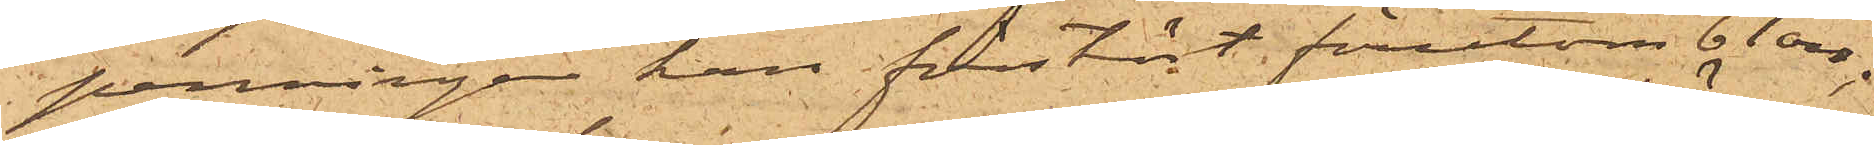penningar han förstört förutom 61 öre;
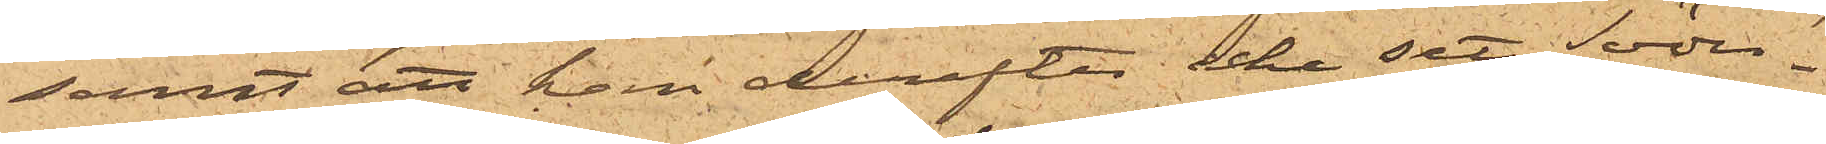samt att han derefter icke sett Söder¬
